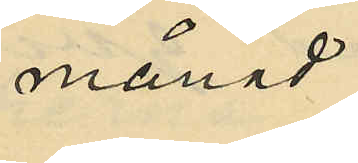månad
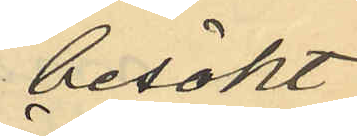besökt
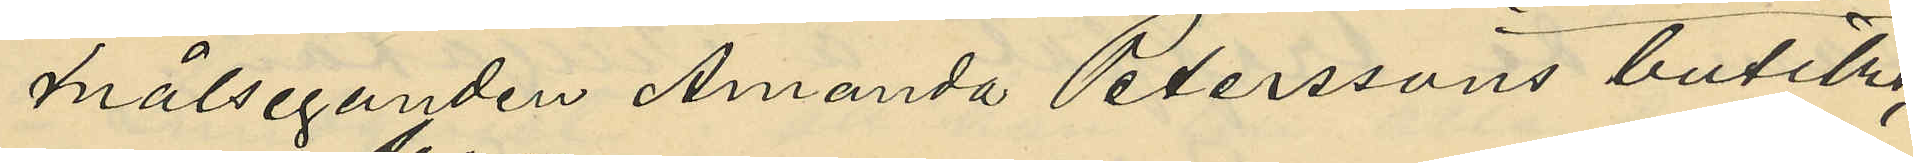målseganden Amanda Peterssons butik,
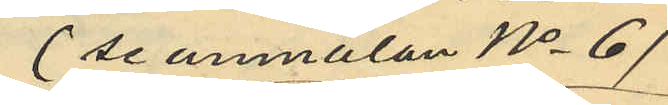(se anmälan No 6)
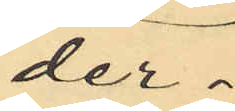der
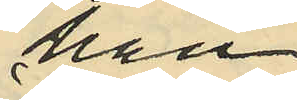han
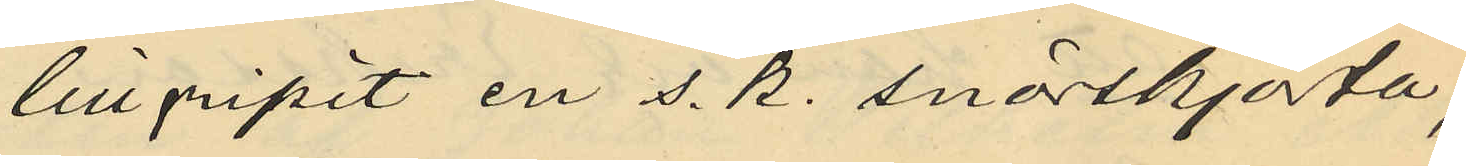tillgripit en s. k. snörskjorta,
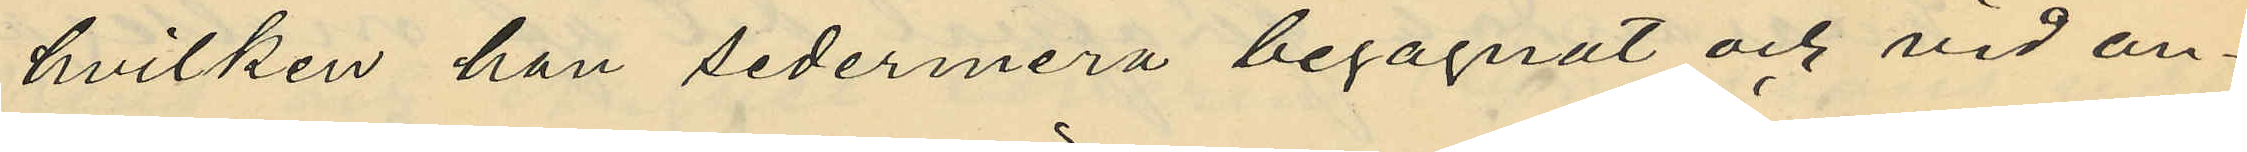hvilken han sedermera begagnat och vid an¬
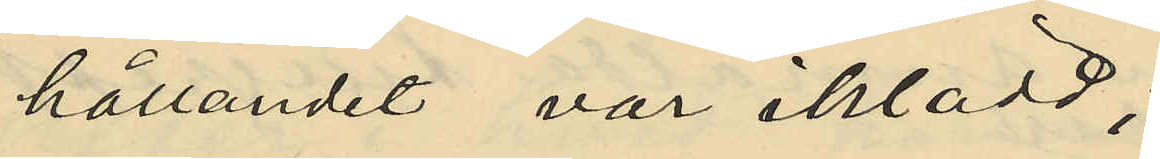hållandet var iklädd;
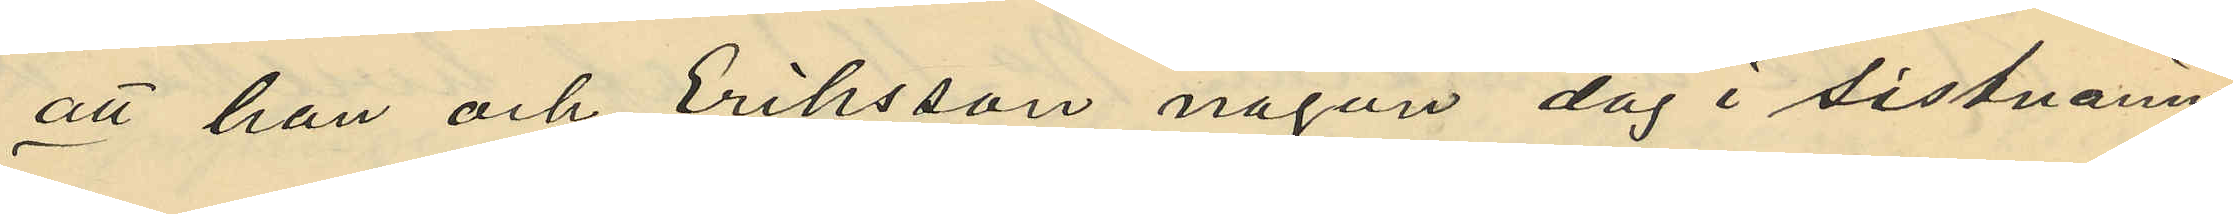att han och Eriksson någon dag i sistnämn¬
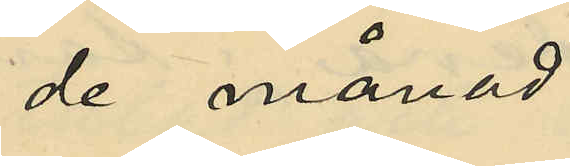de månad
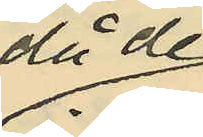då de
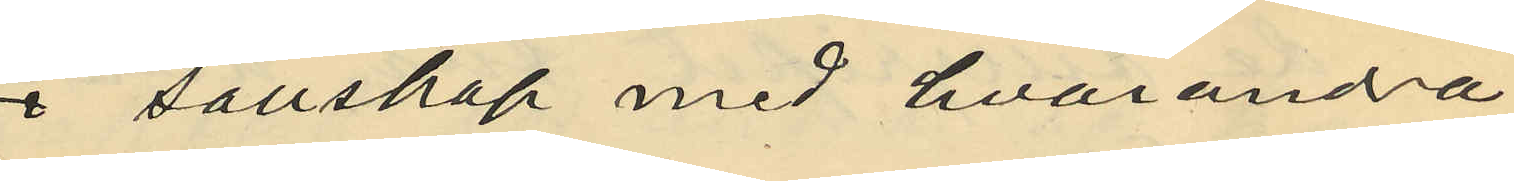i sällskap med hvaranda
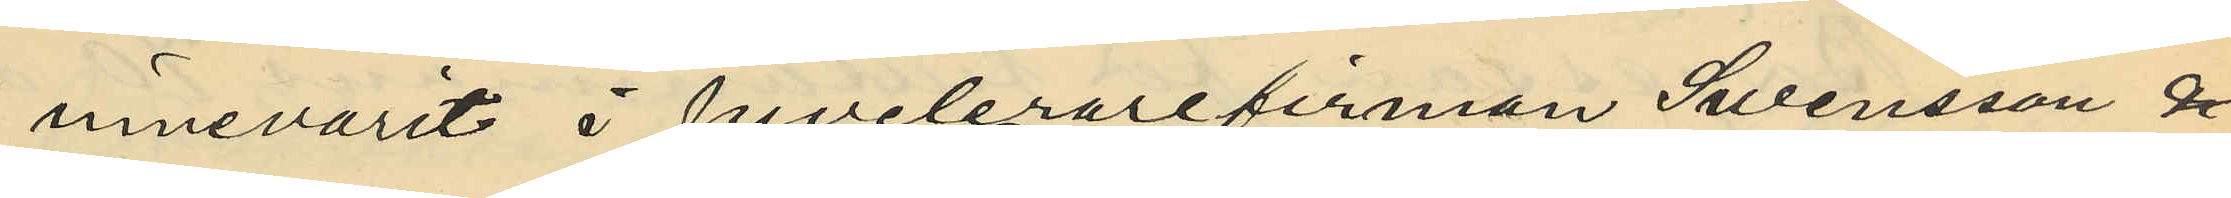innevarit i juvelerarefirman Svensson &
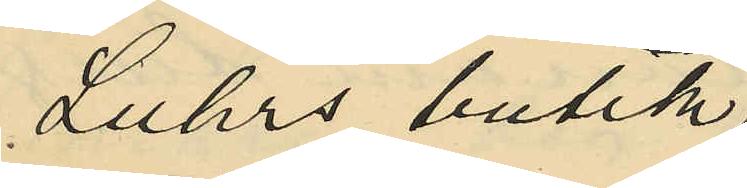Luhrs butik
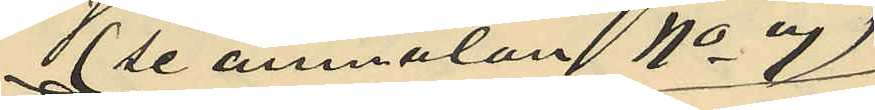(se anmälan No 7)
